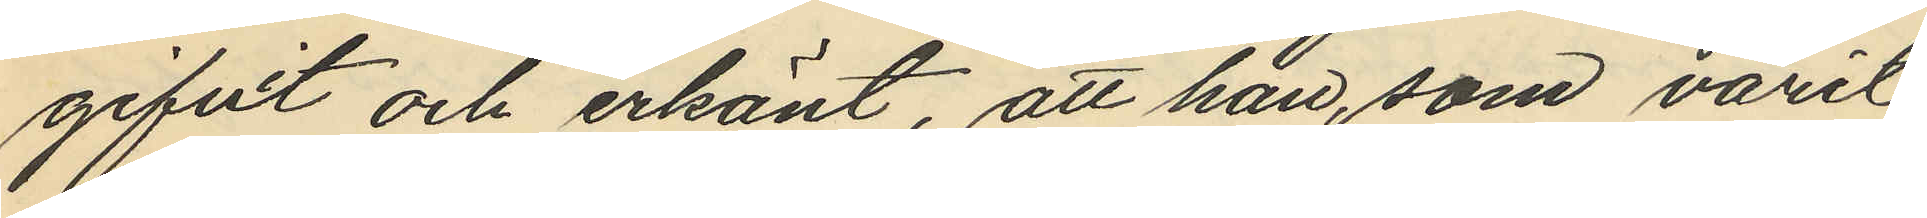gifvit och erkänt, att han, som varit
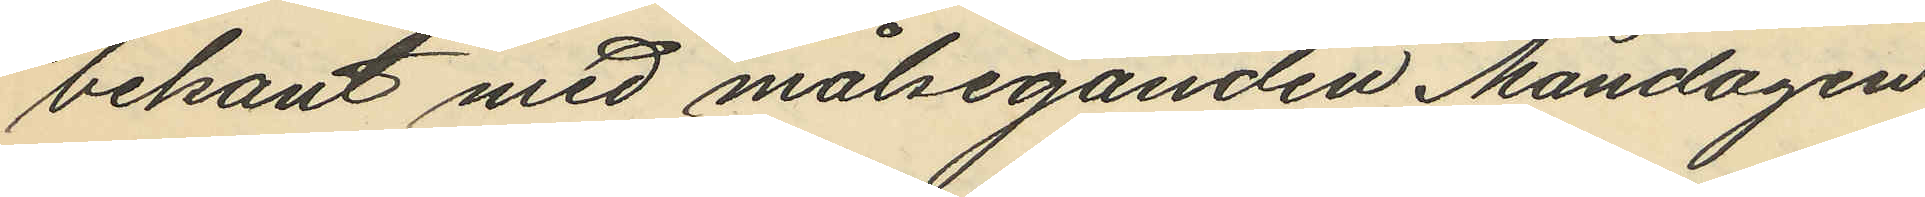bekant med målseganden Måndagen
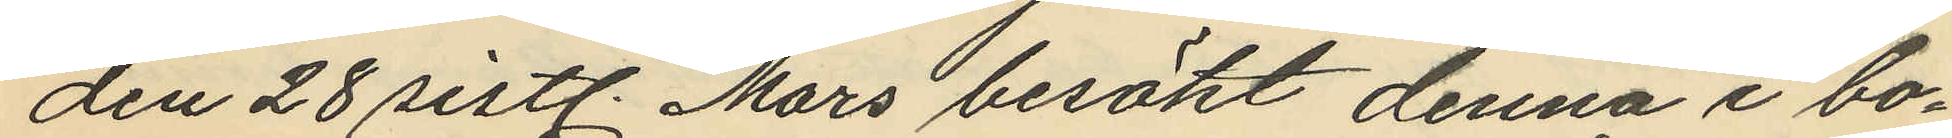den 28 sistl. Mars besökt denna i bo¬
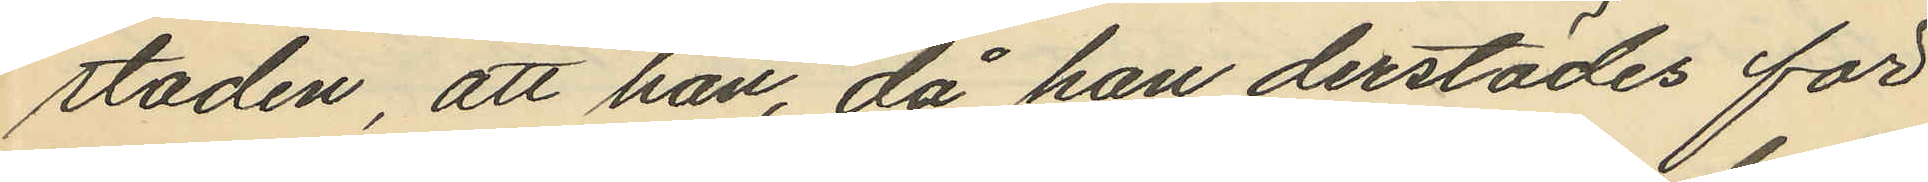staden, att han, då han derstädes för
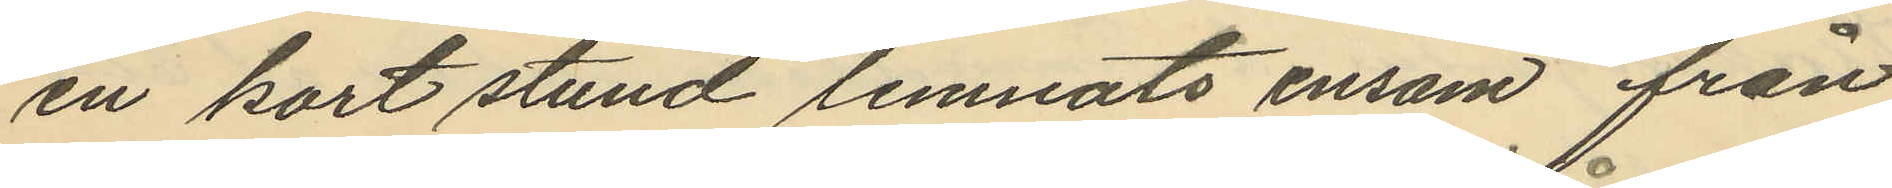en kort stund lemnats ensam från
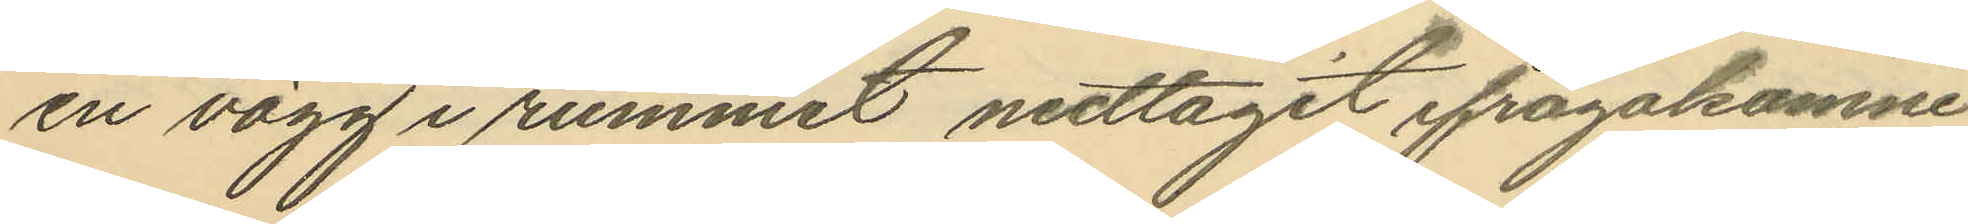en vägg i rummet nedtagit ifrågakomne
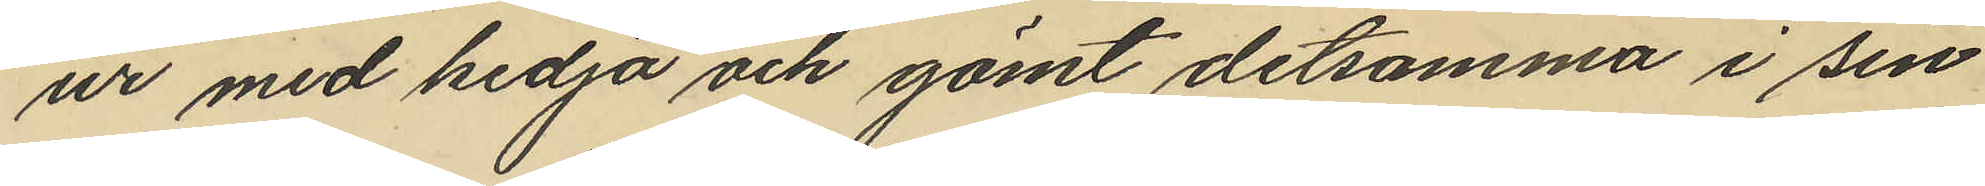ur med kedja och gömt detsamma i sin
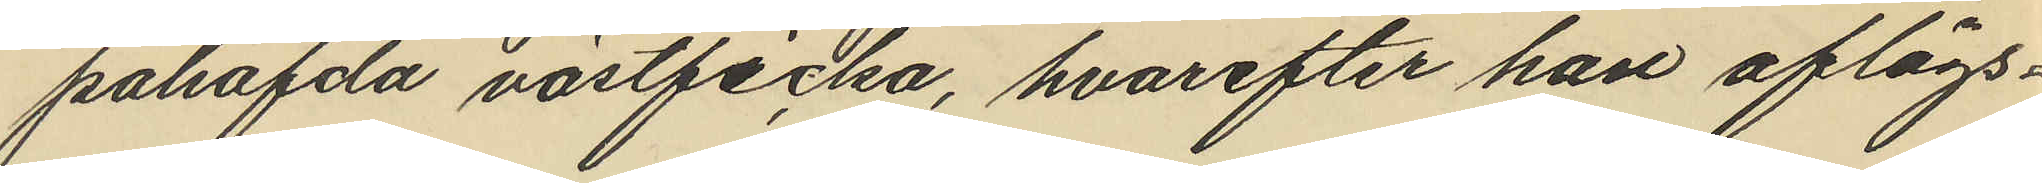påhafda västficka, hvarefter han aflägs¬
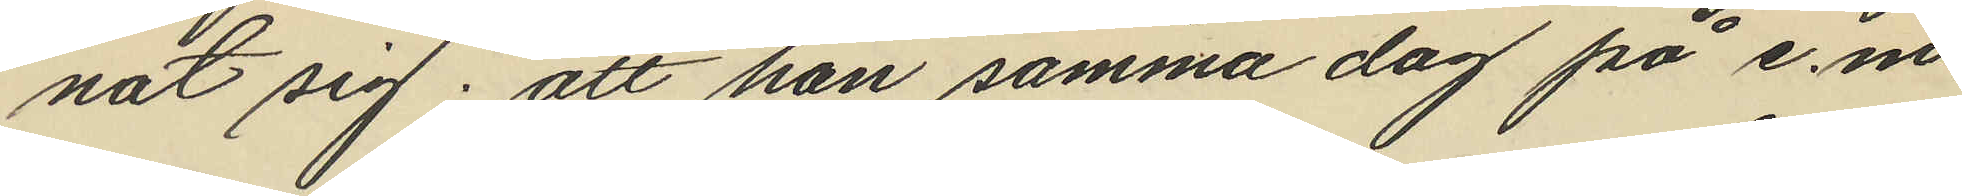nat sig; att han samma dag på e.m.
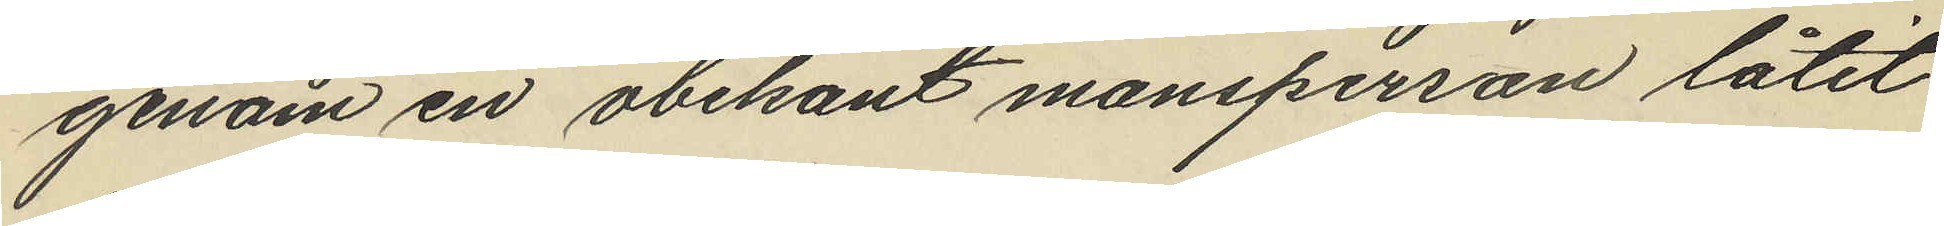genom en obekant mansperson låtit
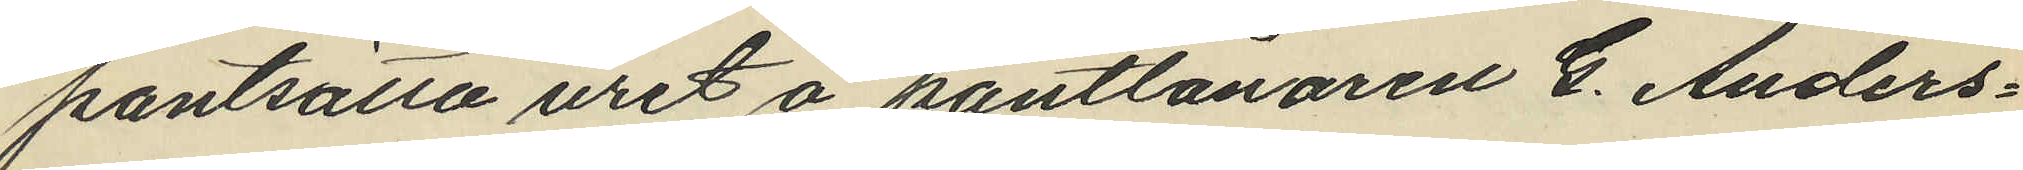pantsätta uret å pantlånaren G. Anders¬
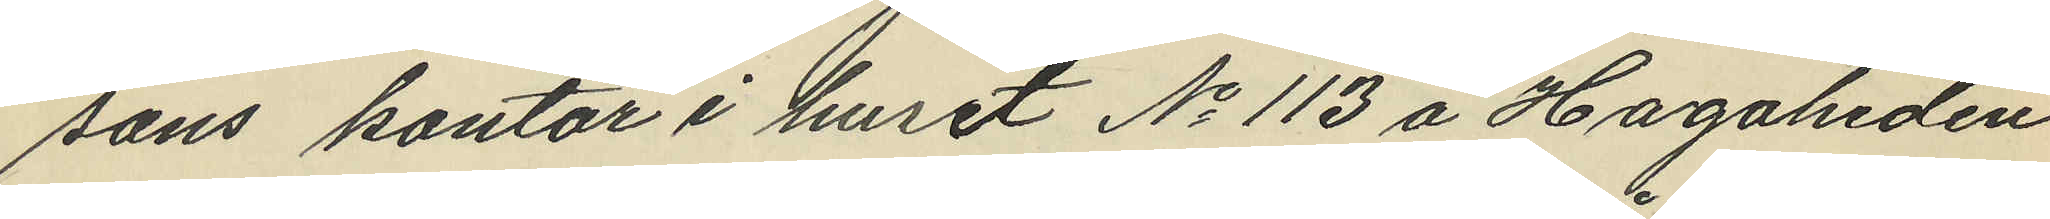sons kontor i huset No 113 å Hagaheden
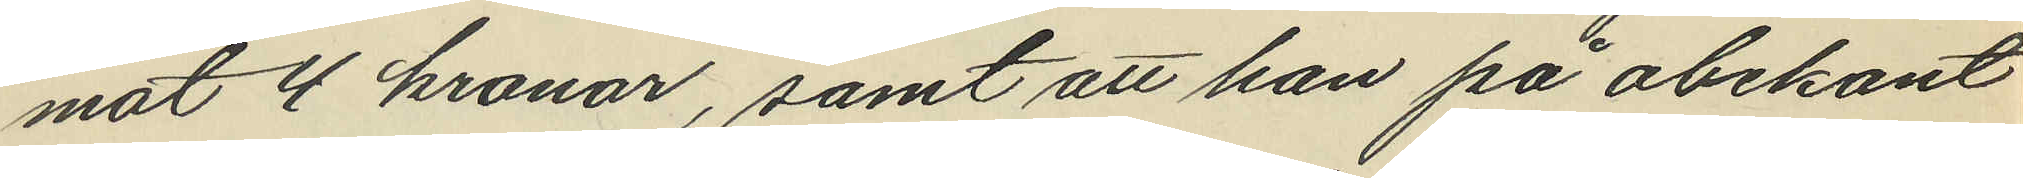mot 4 kronor, samt att han på obekant
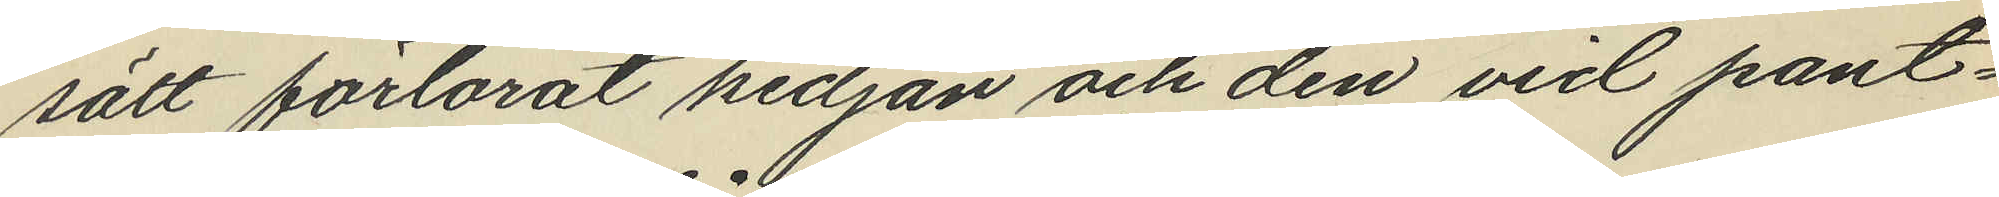sätt förlorat kedjan och den vid pant¬
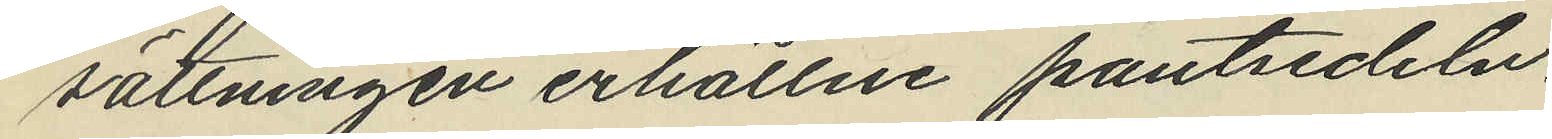sättningen erhållne pantsedeln,
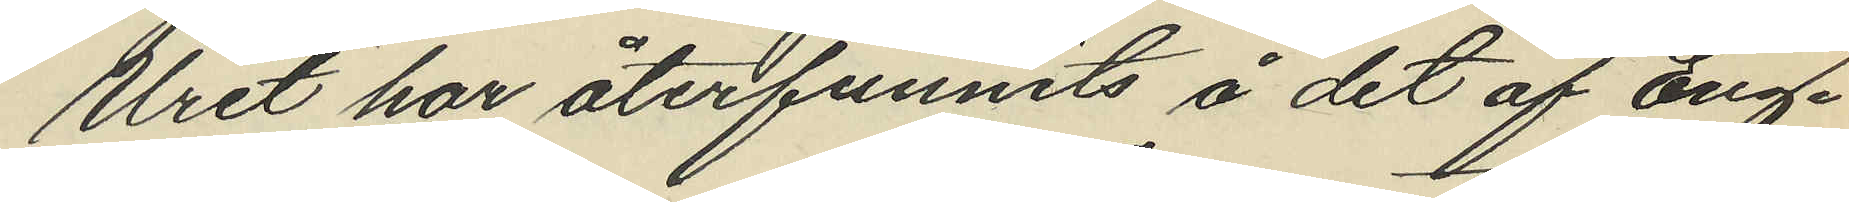Uret har återfunnits å det af Eng¬
